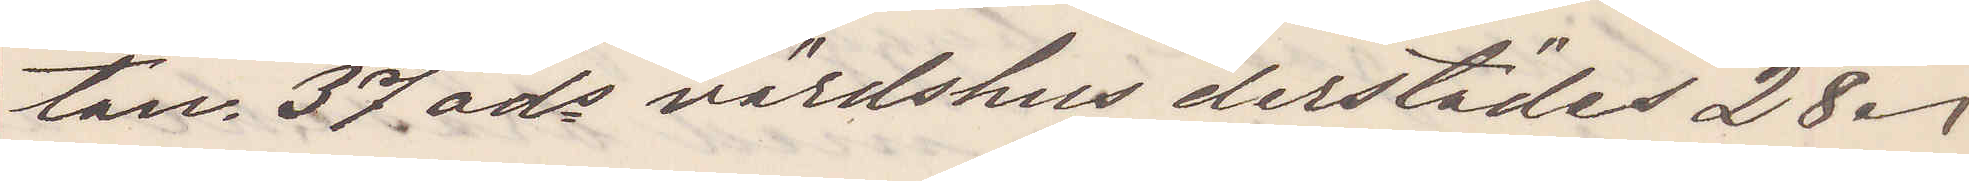tan 37 ads värdshus derstädes 28.
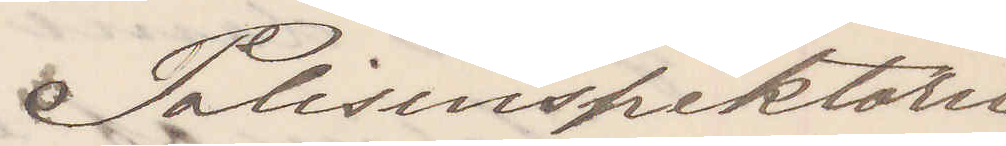Polisinspektorn
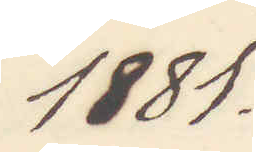1881.
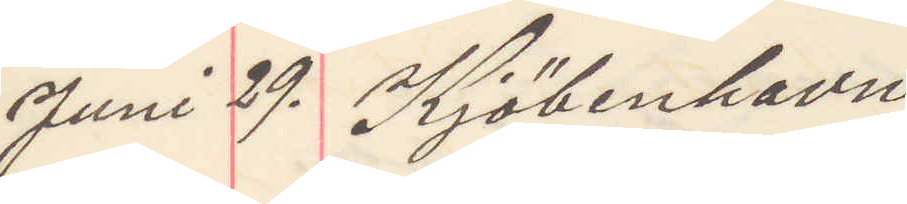Juni 29. Kjöbenhavn
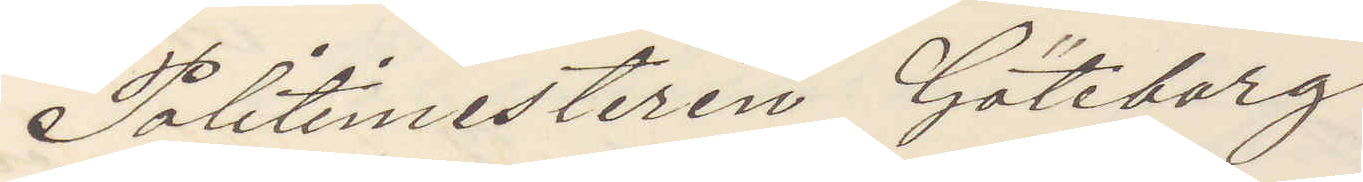Politimesteren Göteborg
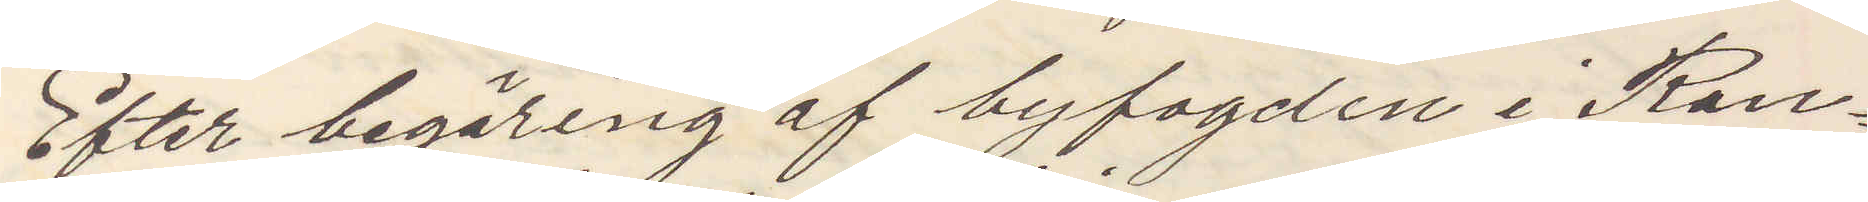Efter begäring af byfogden i Ran¬
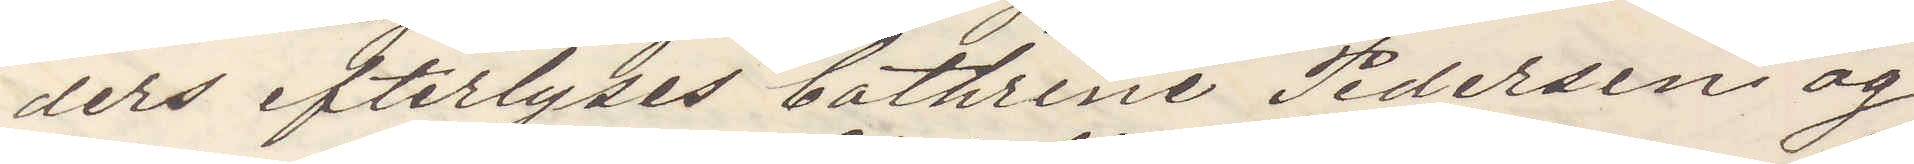ders efterlyses Cathrine Pedersen og
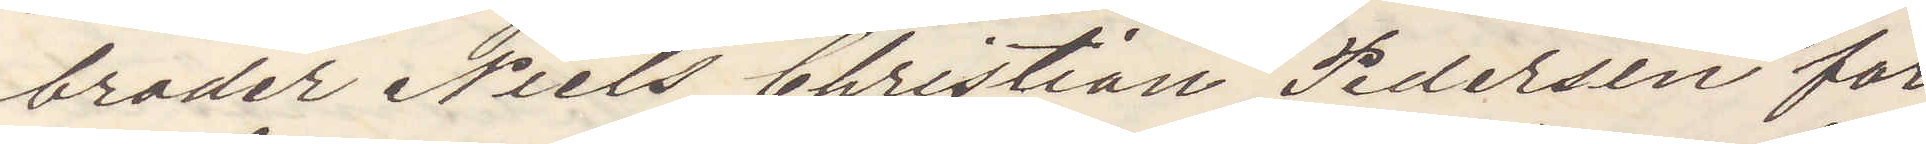broder Niels Christian Pedersen for
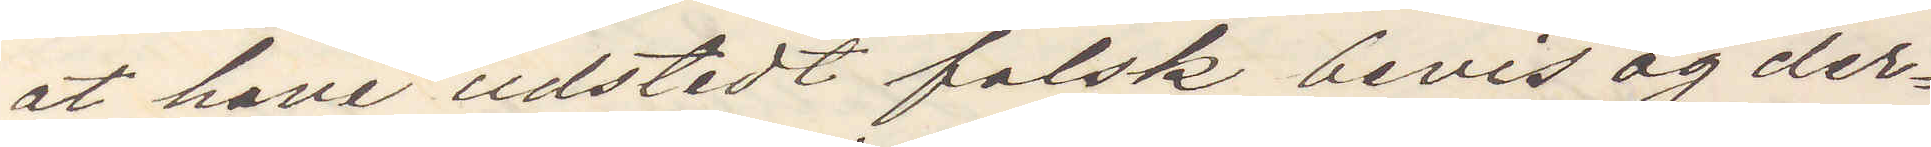at have udstedt falsk bevis og der¬
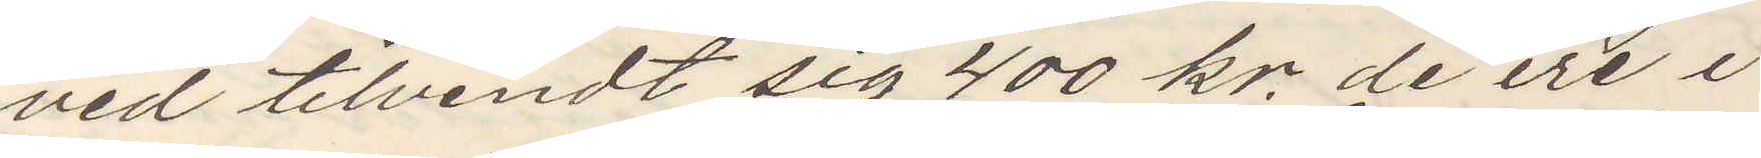ved tilvendt sig 400 kr. de ere i
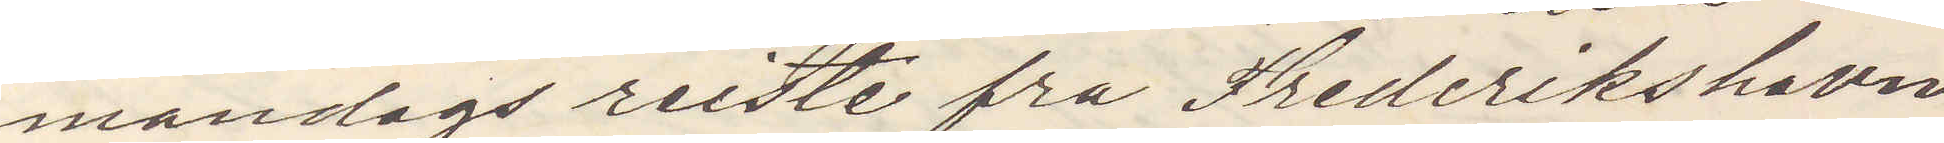mandags reiste fra Fredrikshavn
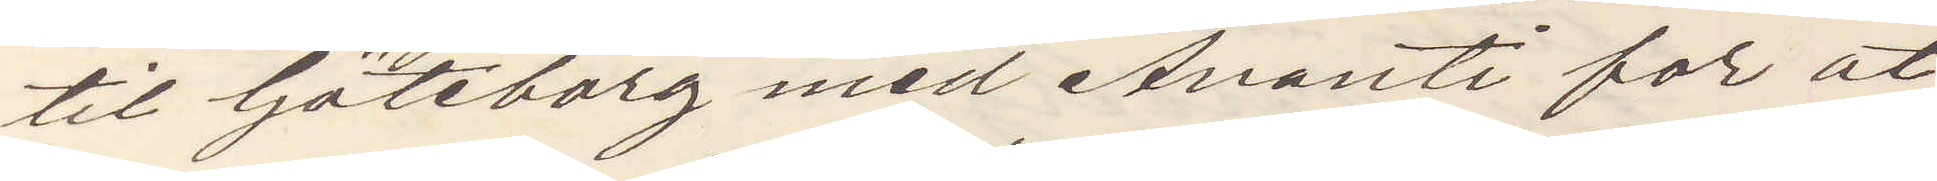til Göteborg med Avanti for at
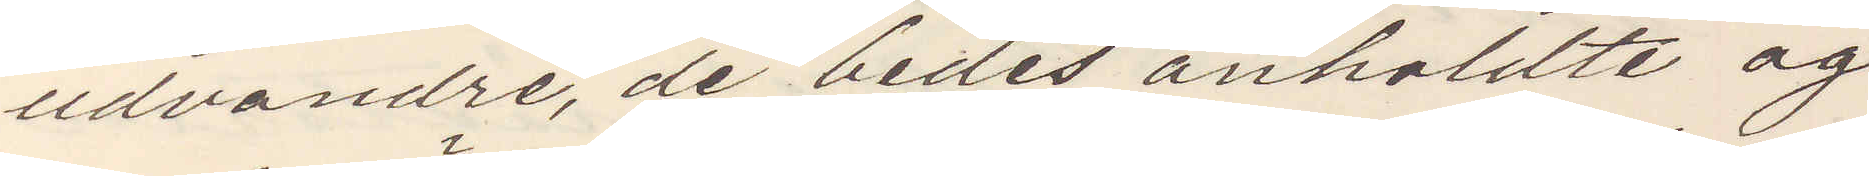udvandre de bedes anholdte og
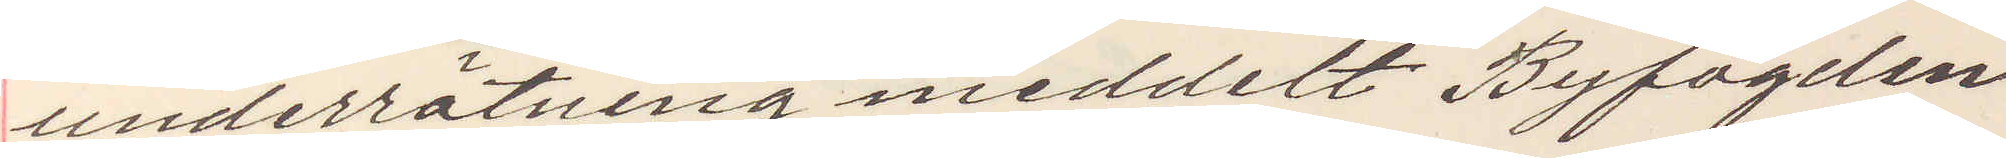underrätning meddelt Byfogden
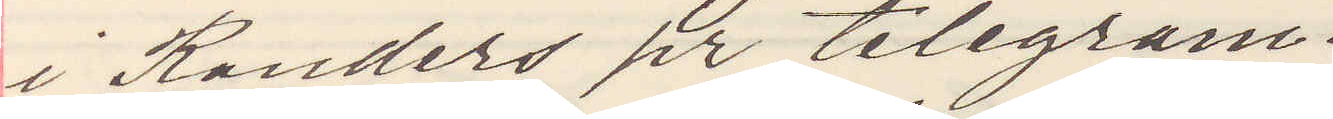i Randers pr telegram.
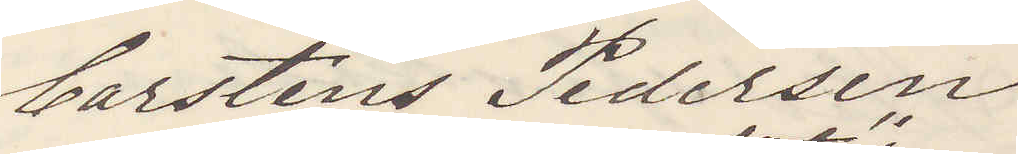Carsten Pedersen
